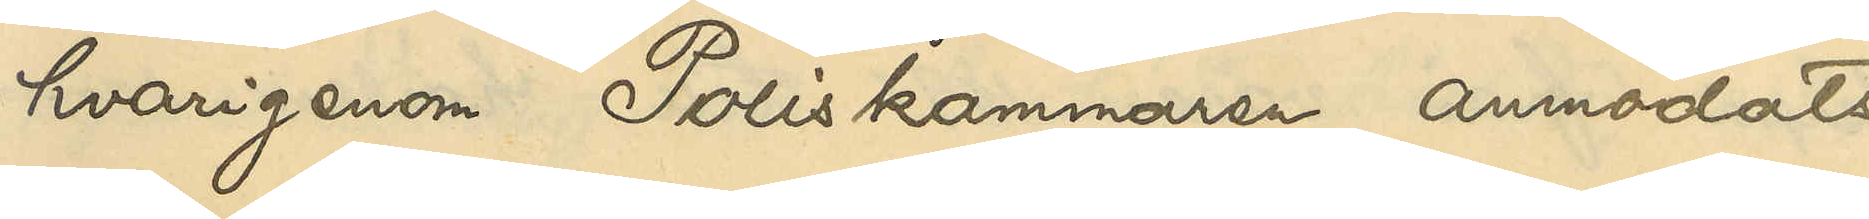hvarigenom Poliskammaren anmodats
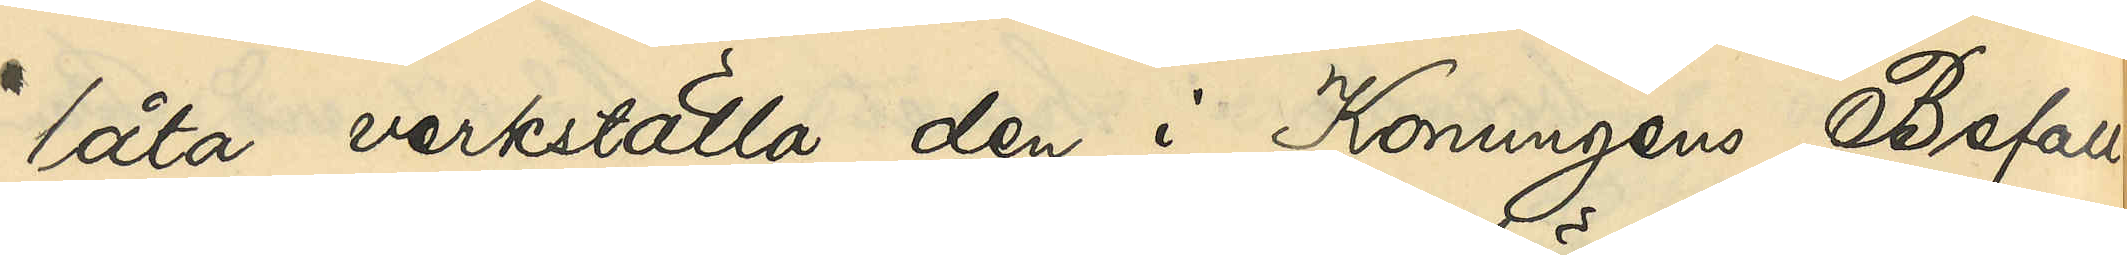låta verkställa den i Konungens Befall¬
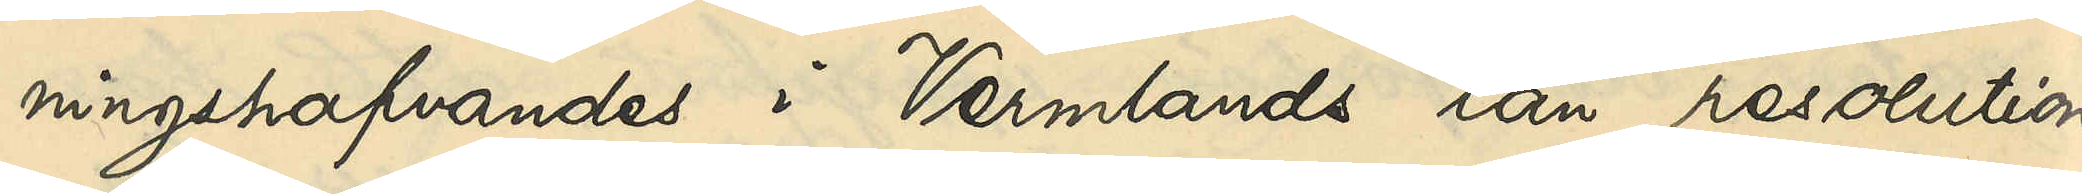ningshafvandes i Vermlands län resolution
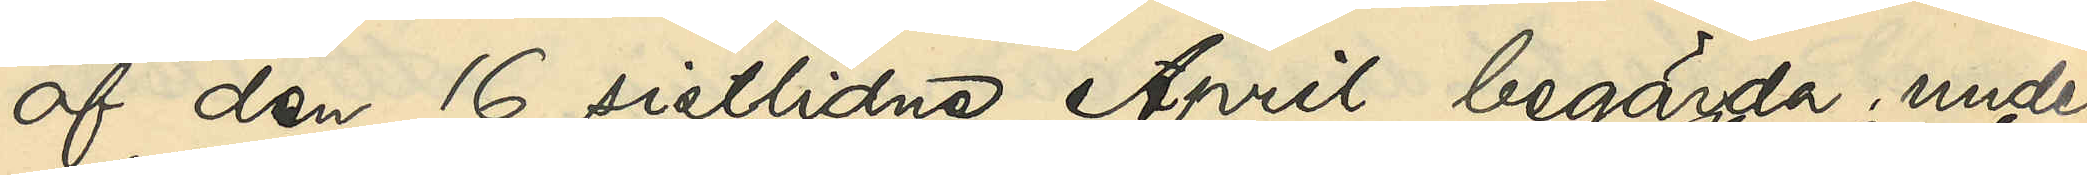af den 16 sistlidne April begärda under¬
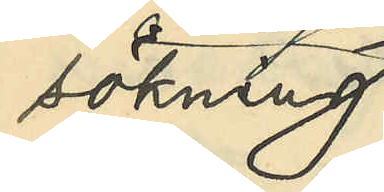sökning
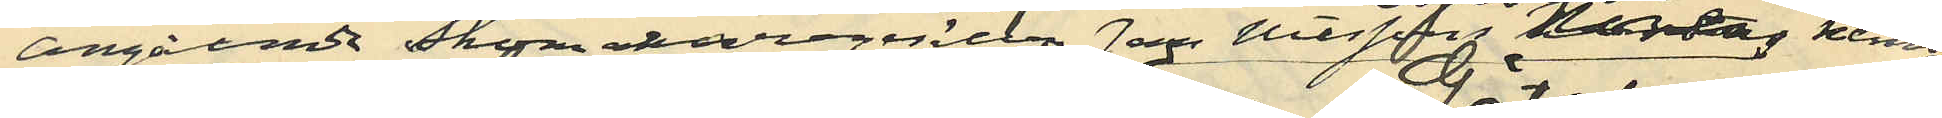angående skomakaregesällen Jan Nilsson Noréns hemvist
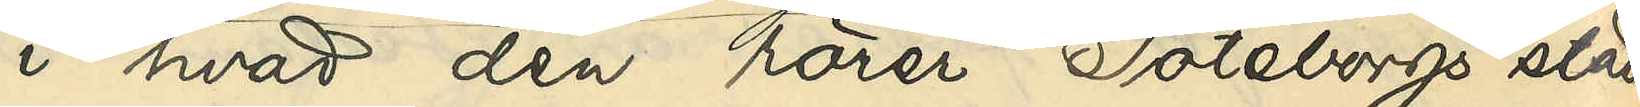i hvad den rörer Göteborgs stad
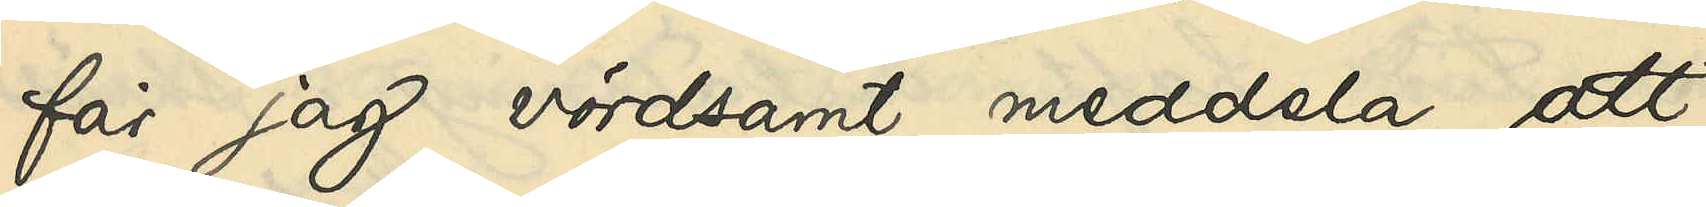får jag vördsamt meddela, att
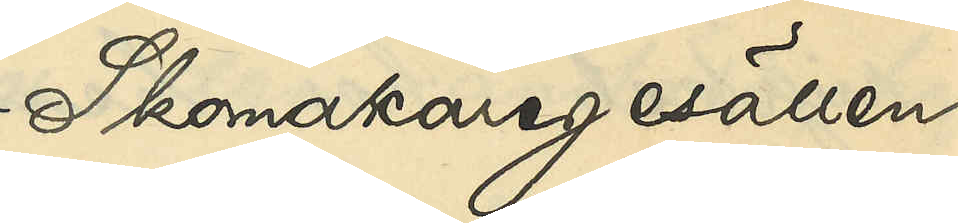Skomakaregesällen
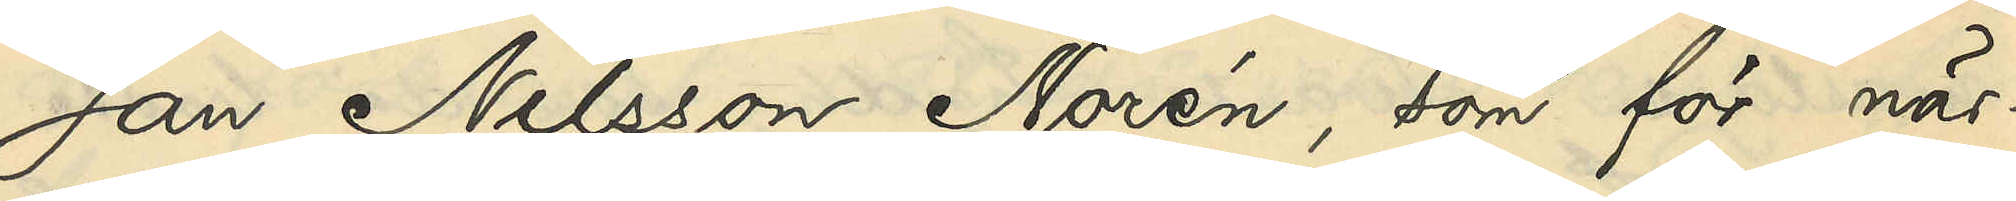Jan Nilsson Norén, som för när¬
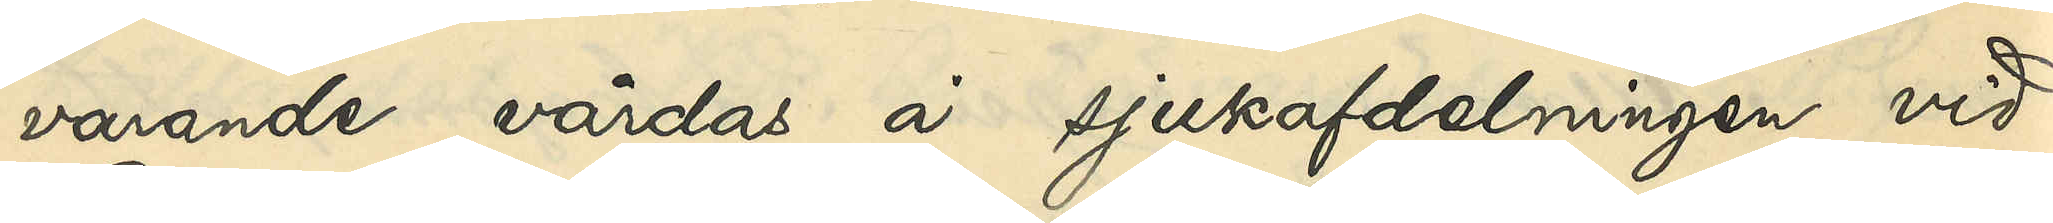varande vårdas å sjukafdelningen vid
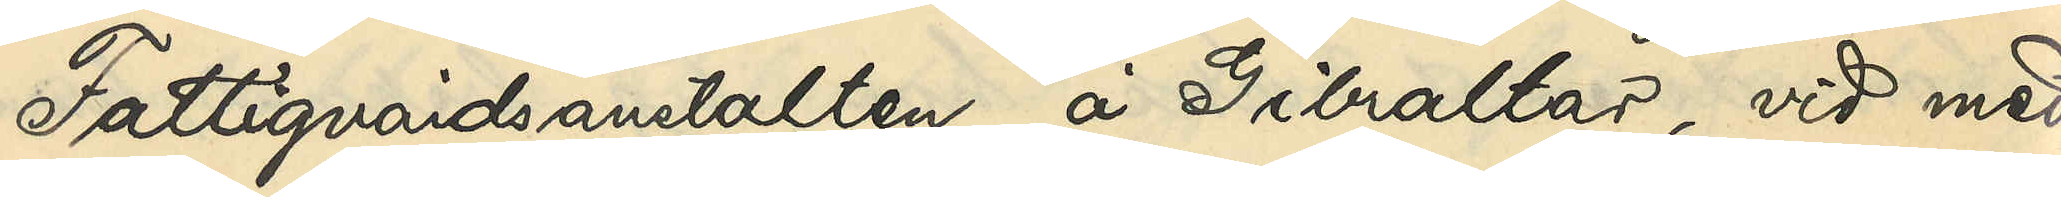Fattigvårdsanstalten å Gibraltar, vid med
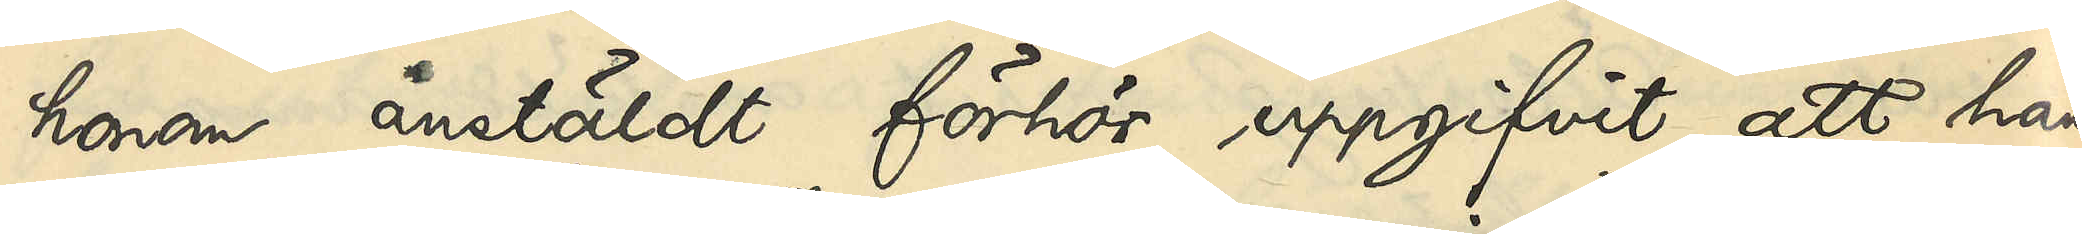honom anstäldt förhör uppgifvit, att han
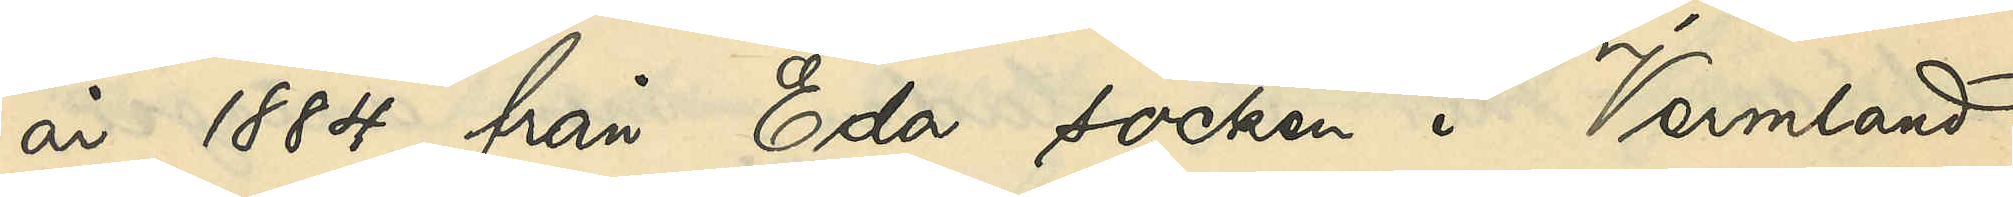år 1884 från Eda socken i Vermland
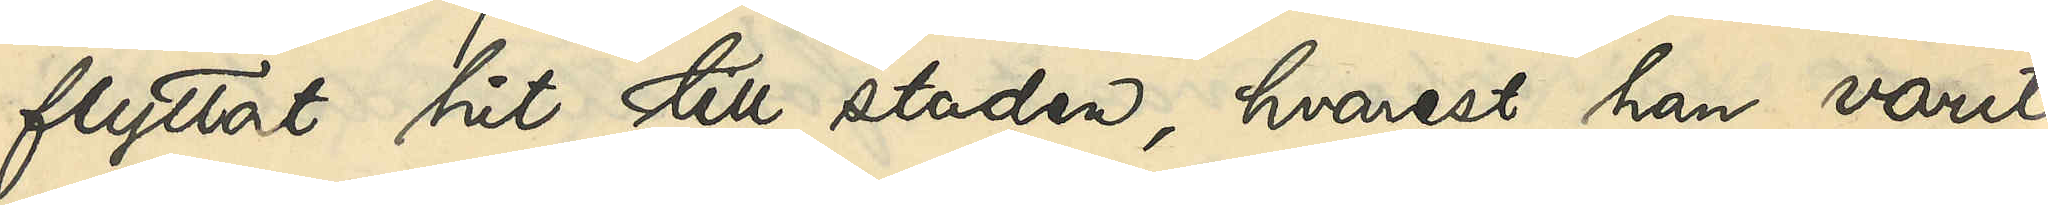flyttat hit till staden, hvarest han varit
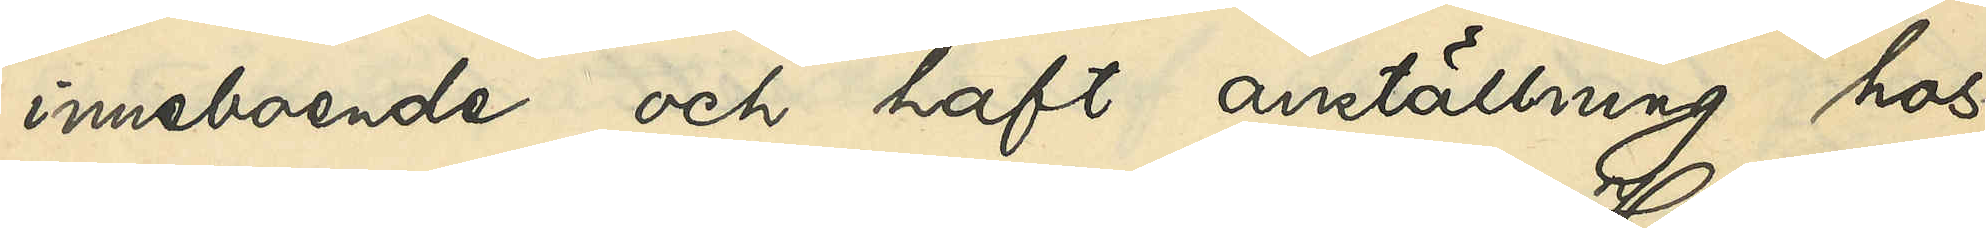inneboende och haft anställning hos
